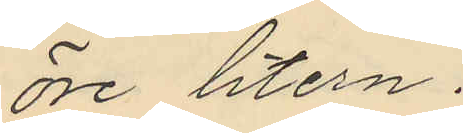öre litern.
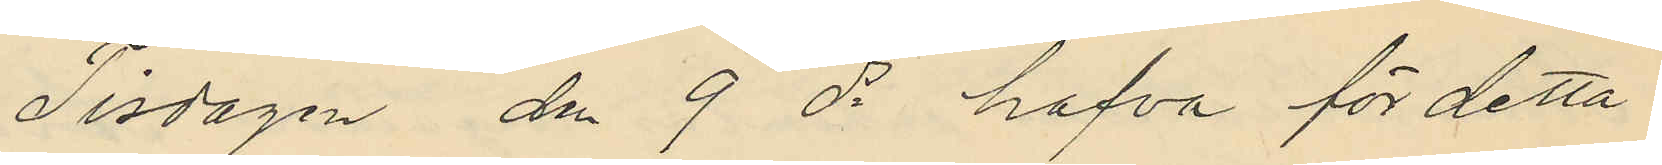Tisdagen dn 9 ds hafva för detta
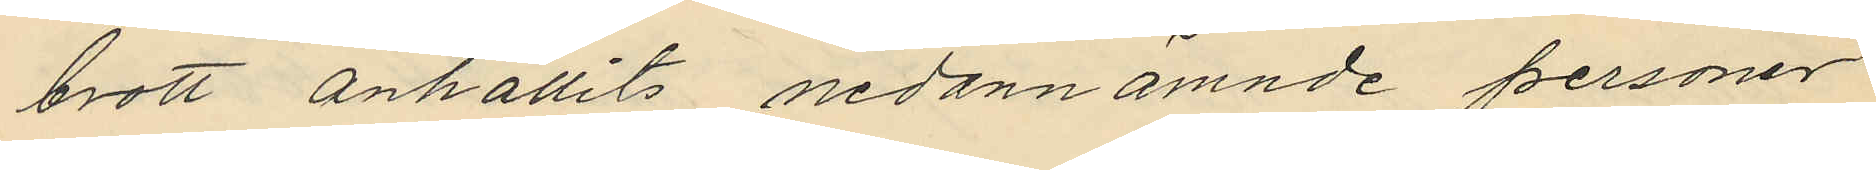brott anhållits nedannämnde personer
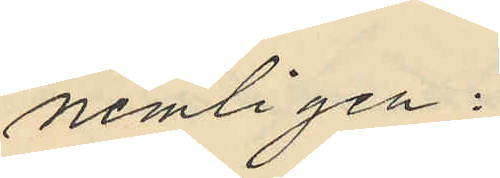nemligen:
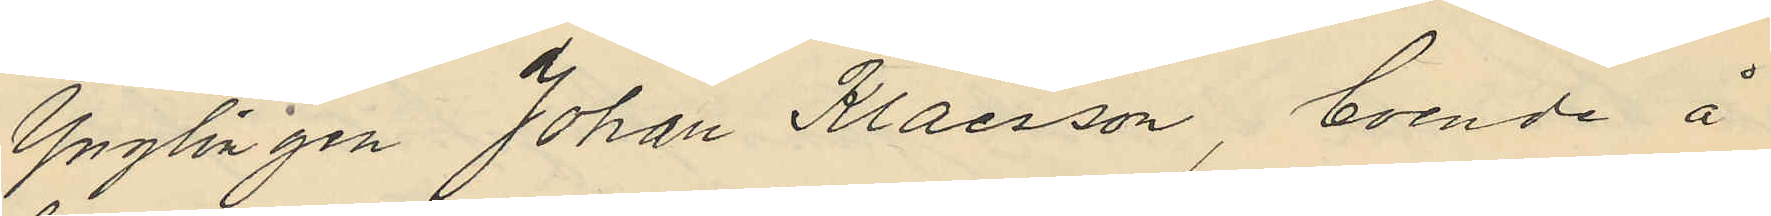Ynglingen Johan Klaesson, boende å
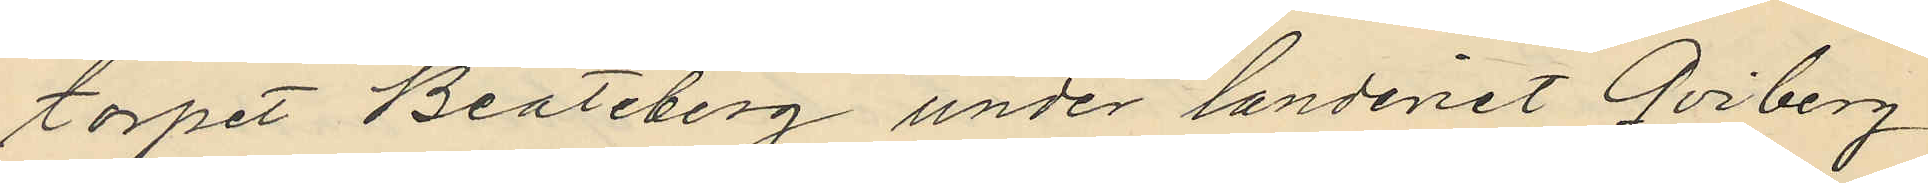torpet Beateberg under landeriet Qviberg
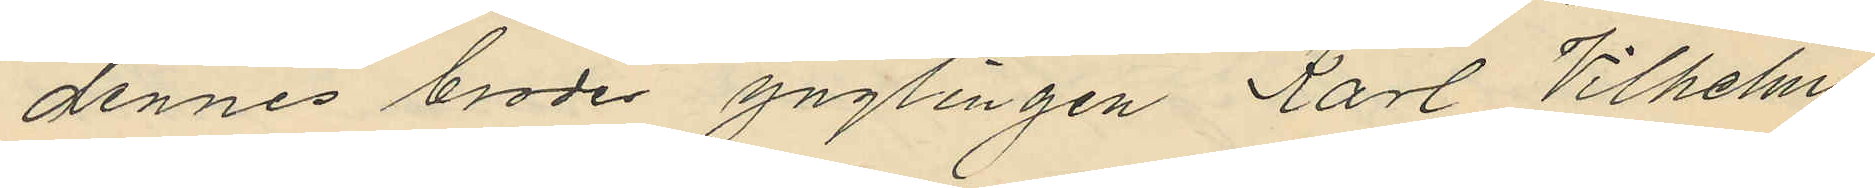dennes broder ynglingen Karl Vilhelm
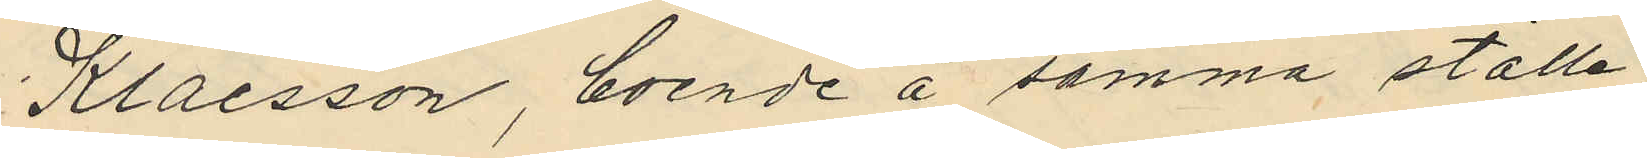Klaesson, boende å samma ställe
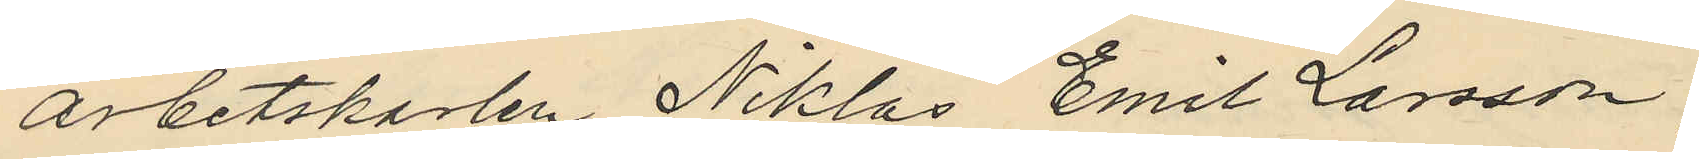arbetskarlen Niklas Emil Larsson
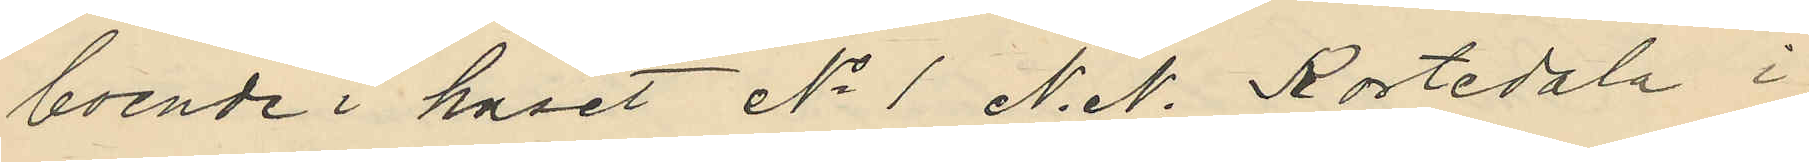boende i huset No 1 N. N. Kortedala i
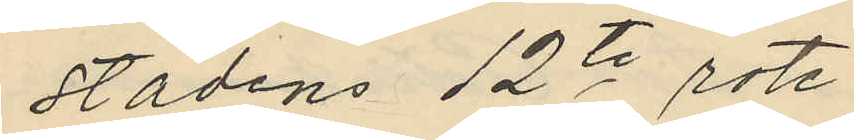stadens 12te rote,
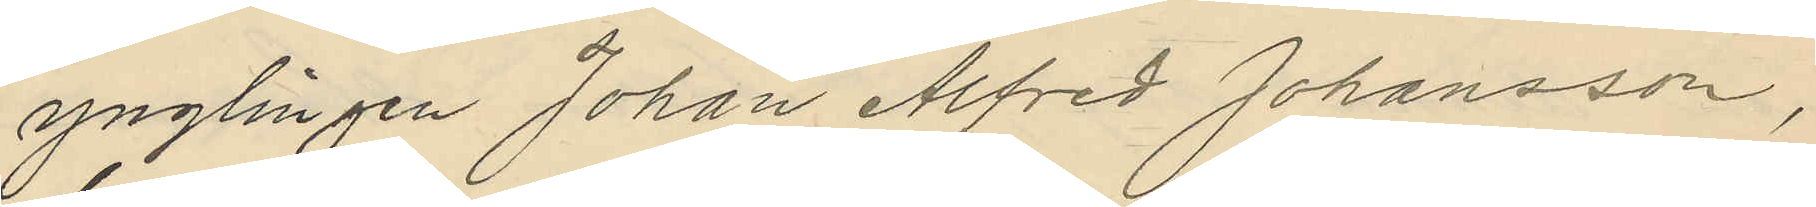ynglingen Johan Alfred Johansson,
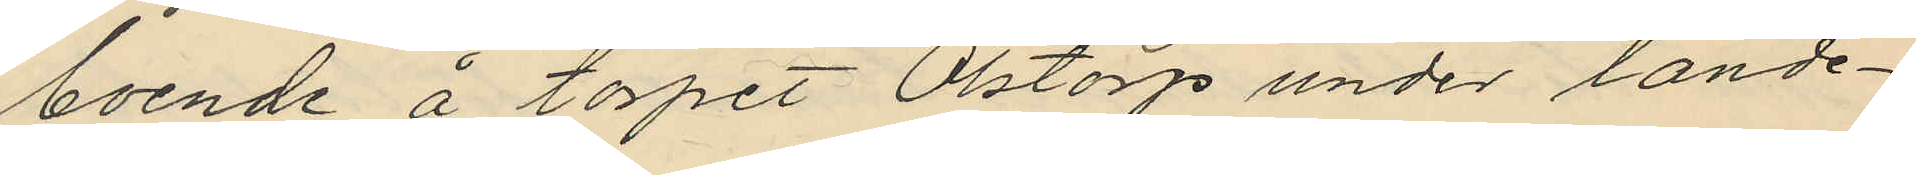boende å torpet Olstorp under lande¬
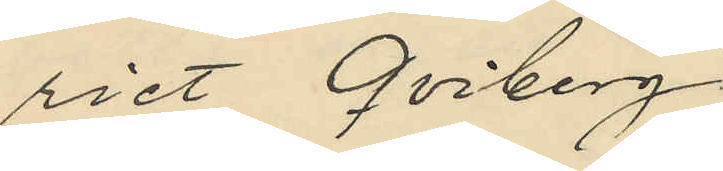riet Qviberg.
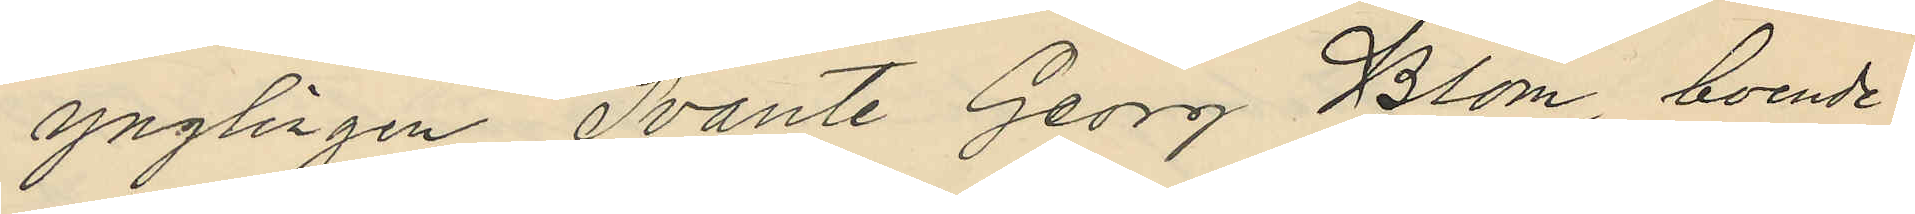ynglingen Svante Georg Blom, boende
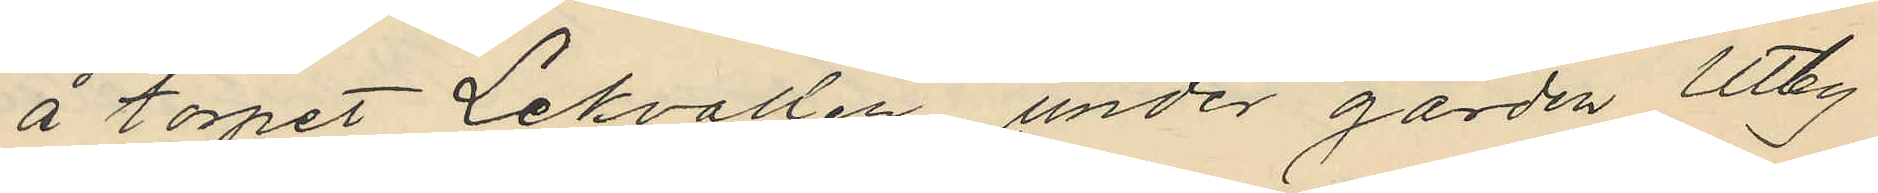å torpet Lekvallen under gården Utby
